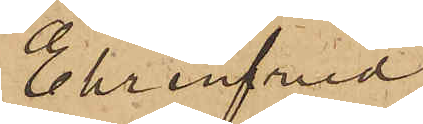Ehrenfried
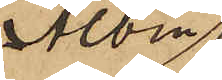Albin
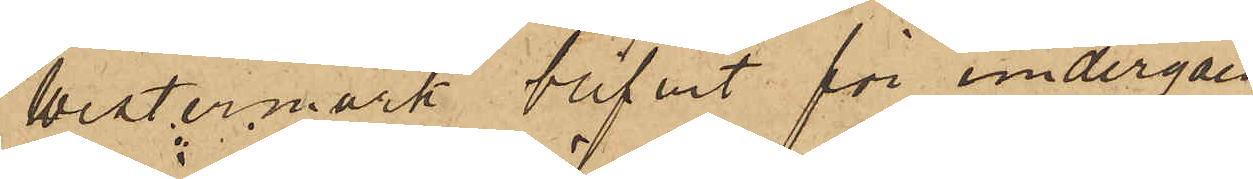Westermark blifvit för undergåen¬
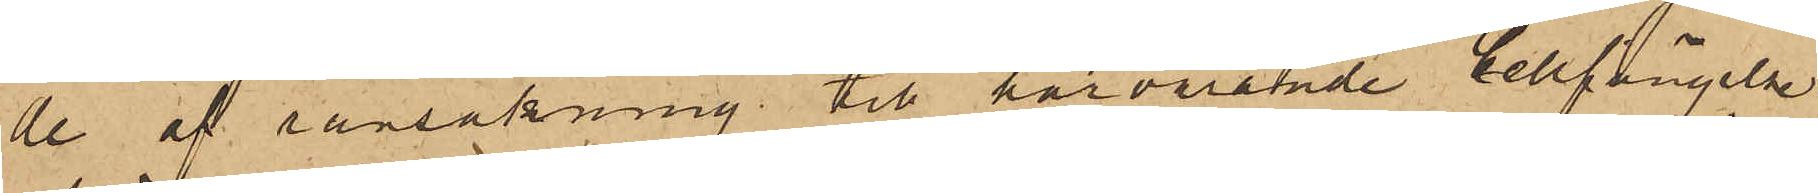de af ransakning till härvarande Cellfängelse
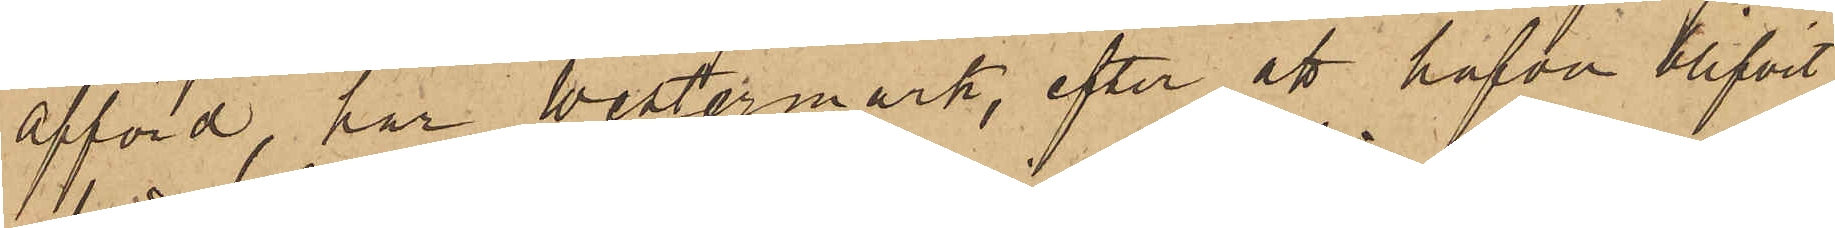afförd, har Westermark, efter att hafva blifvit
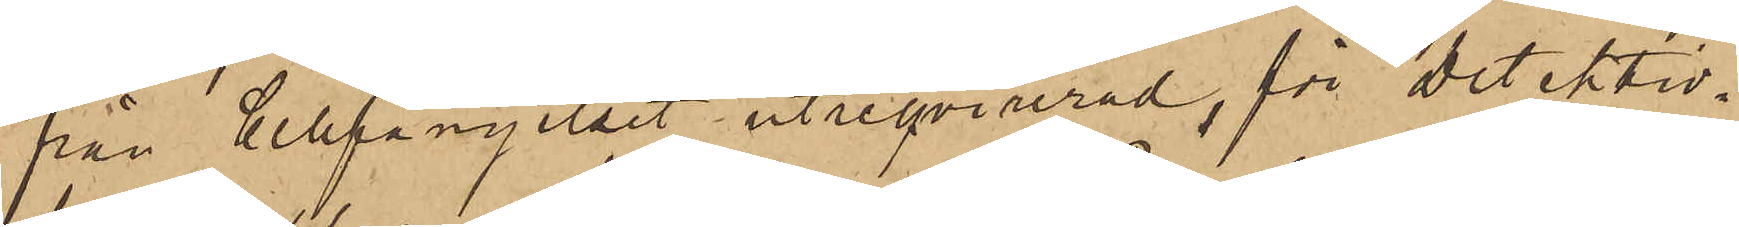från Cellfängelset utreqvirerad, för detektiv¬
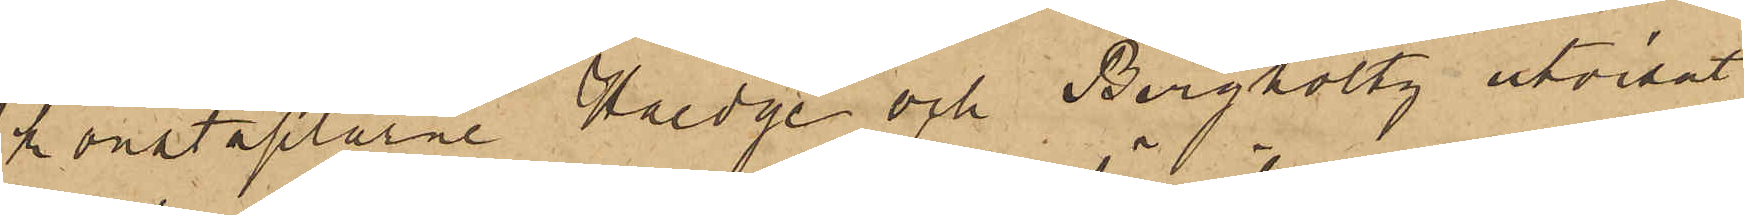konstaplarne Haedge och Bergholtz utvisat
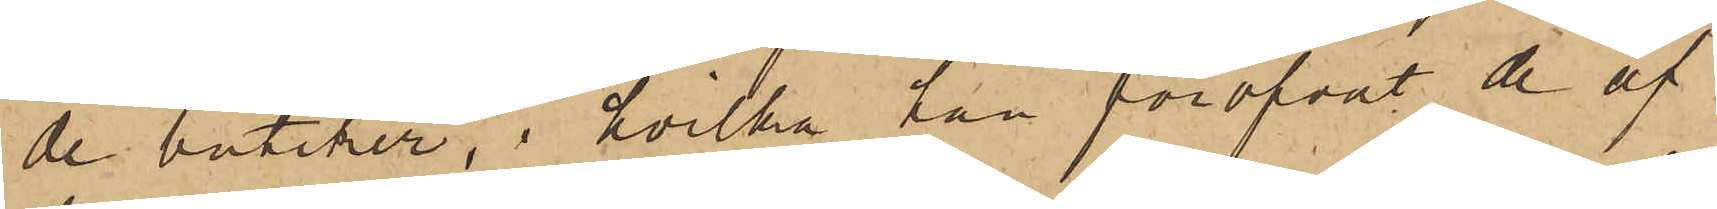de butiker, i hvilka han föröfvat de af
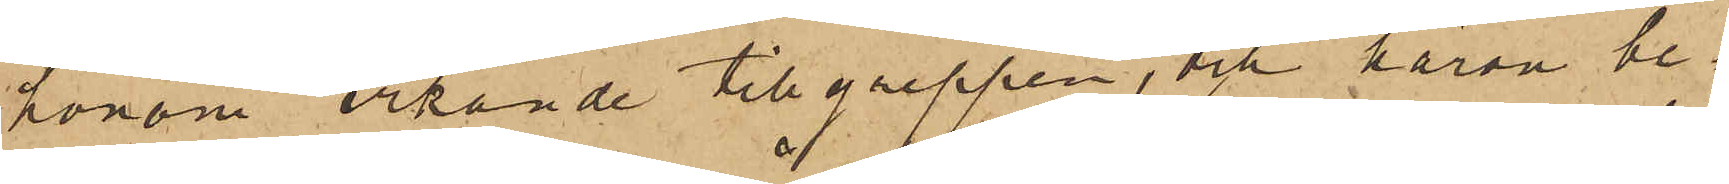honom erkände tillgreppen, och härom be¬
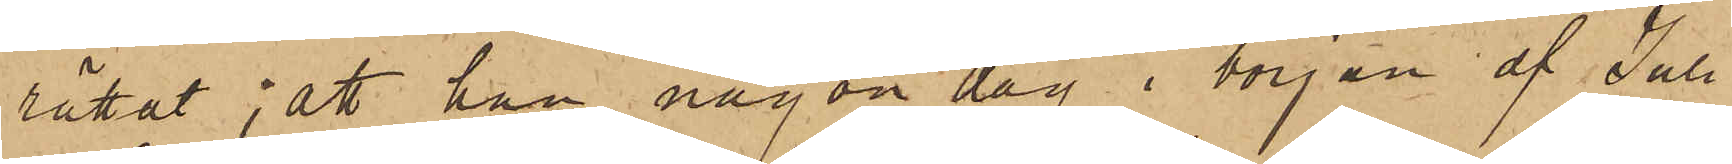rättat; att han någon dag i början af Juli
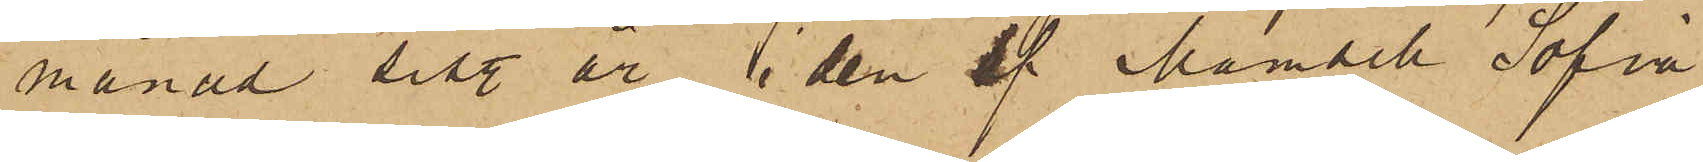månad sist. år i den af Mamsell Sofia
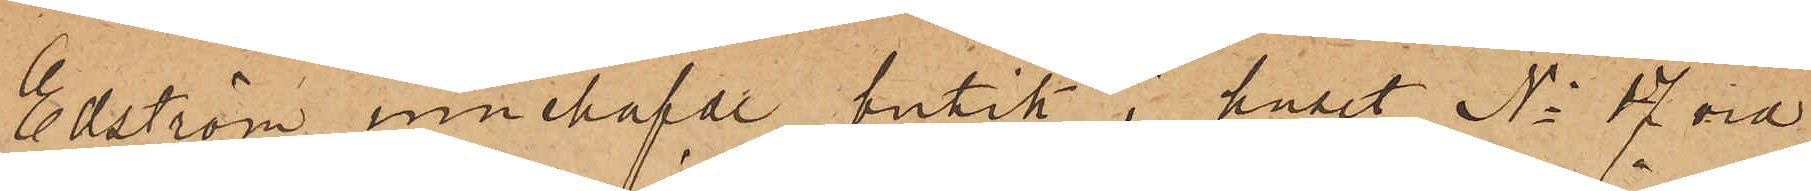Edström innehafde butik i huset No 17 vid
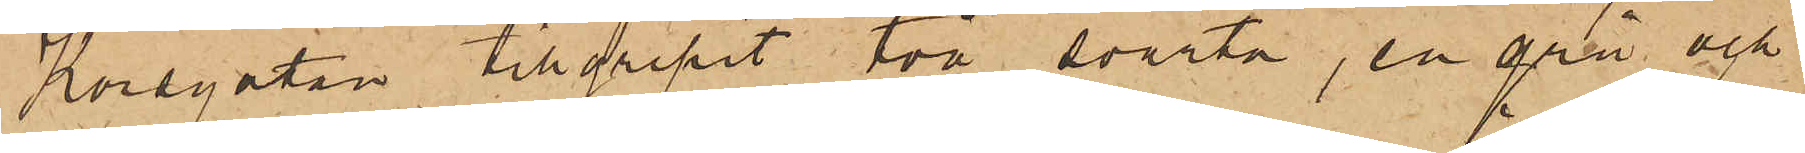Korsgatan tillgripit två svarta, en grå och
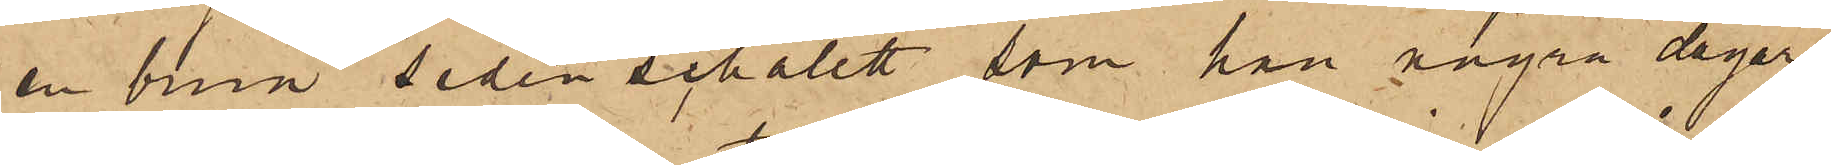en brun sidenschalett, som han några dagar
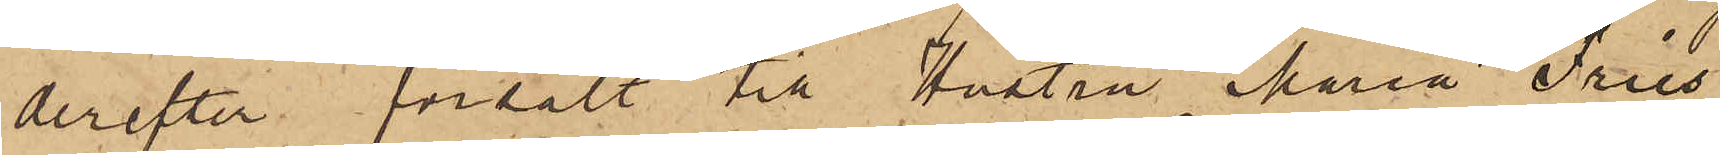derefter försålt till Hustru Maria Fries
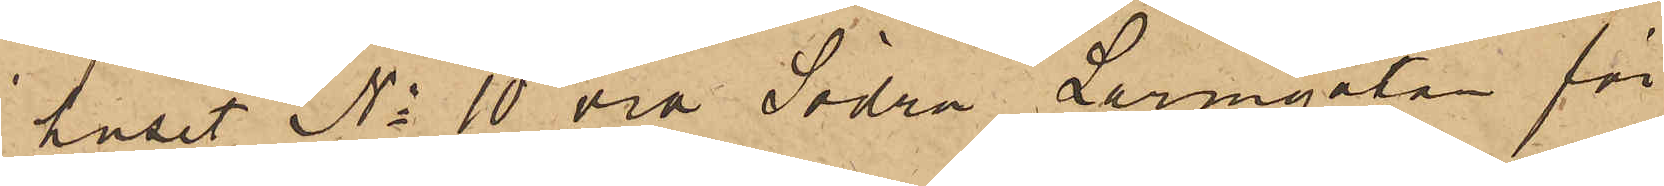i huset No 10 vid Södra Larmgatan för
